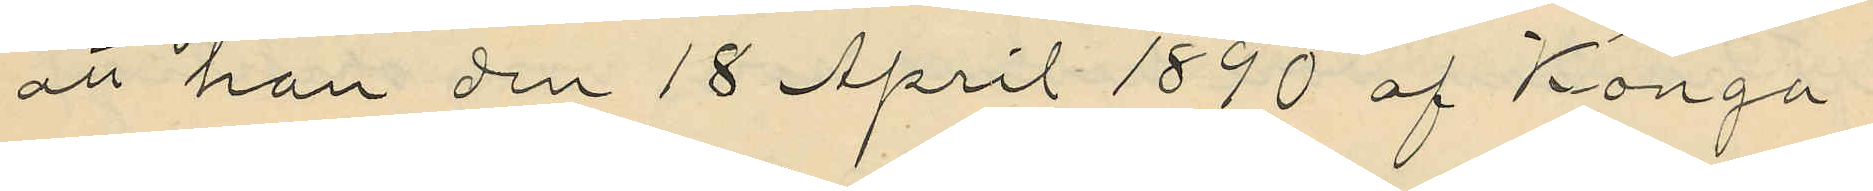att han den 18 April 1890 af Konga
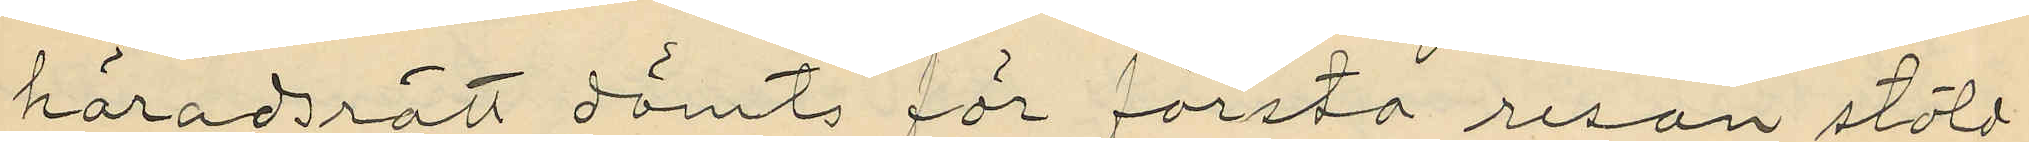häradsrätt dömts för första resan stöld
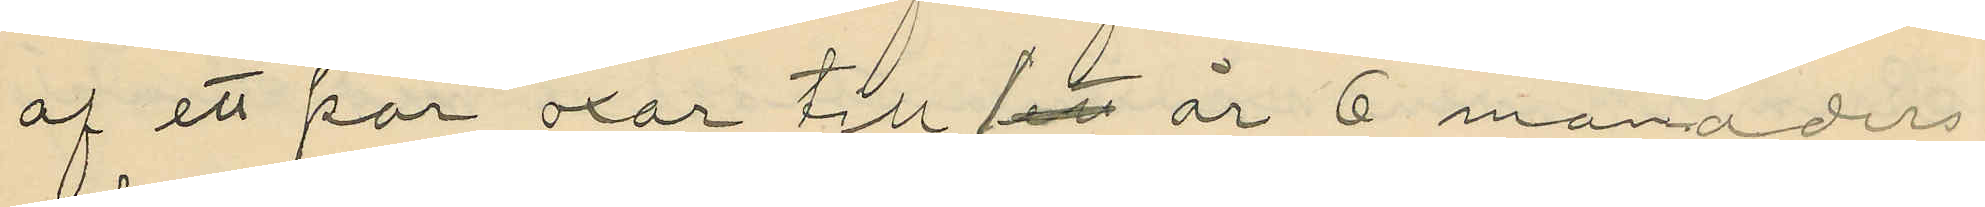af ett par oxar till 1 år 6 månaders
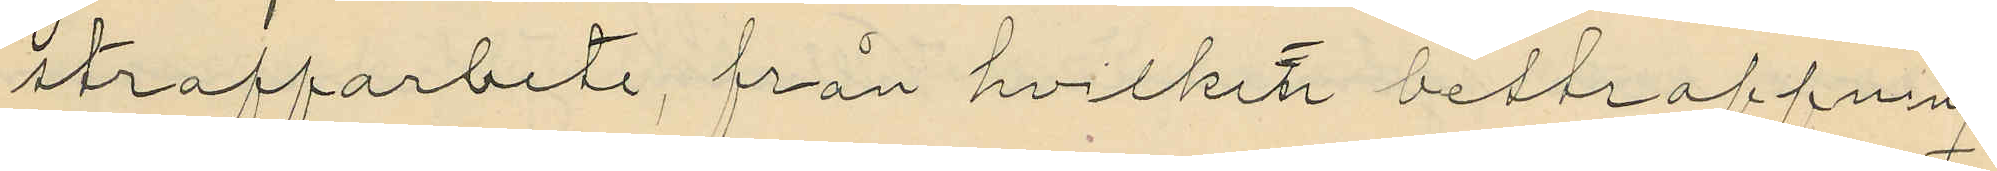straffarbete, från hvilket bestraffning
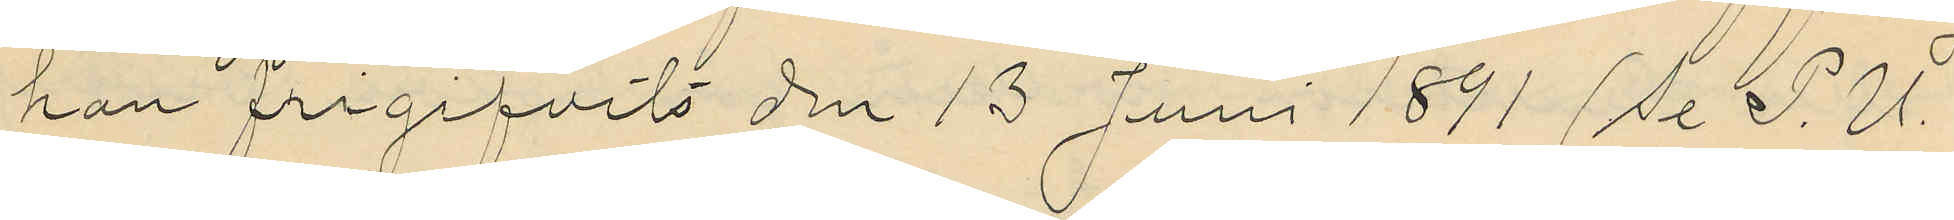han frigifvits den 13 Juni 1891 (se P.U.
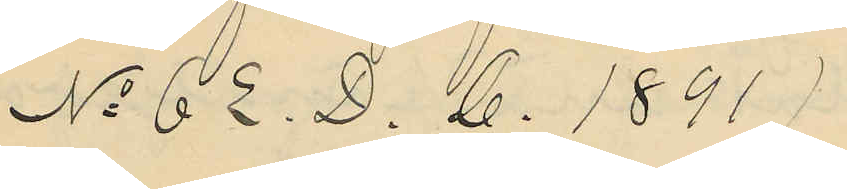No 62. D. B. 1891)
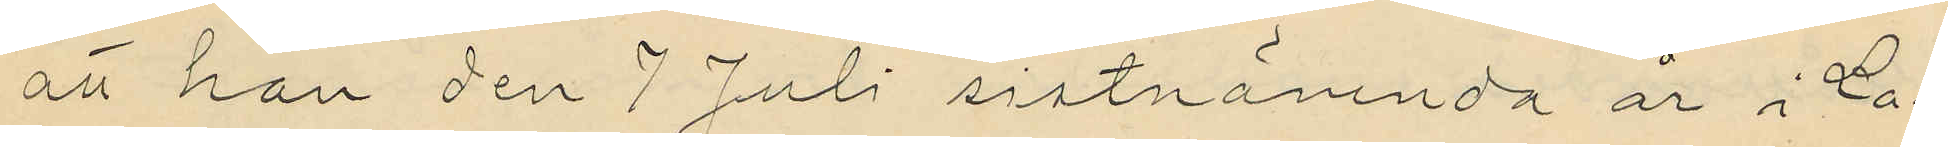att han den 7 Juli sistnämnda år i La¬
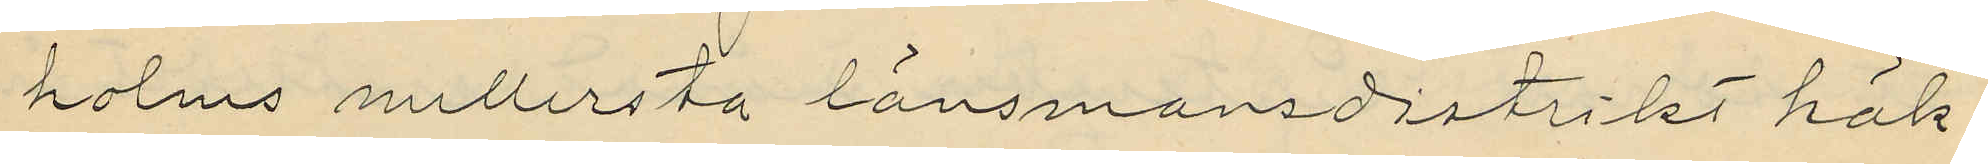holms mellersta länsmansdistrikt häk¬
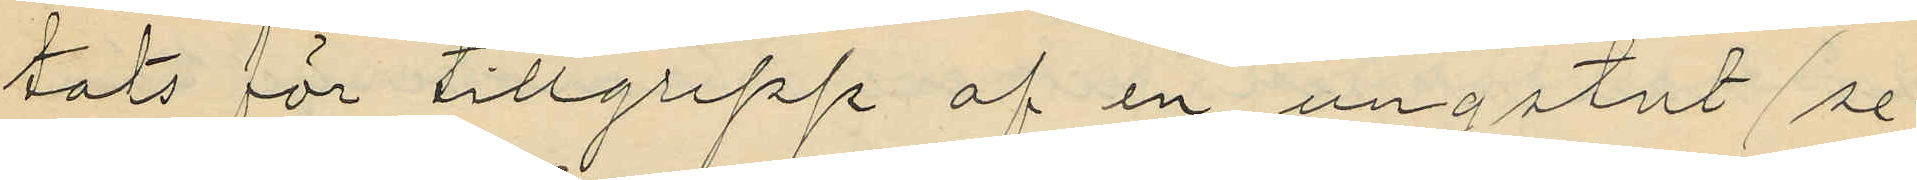tats för tillgrepp af en ungstut (se
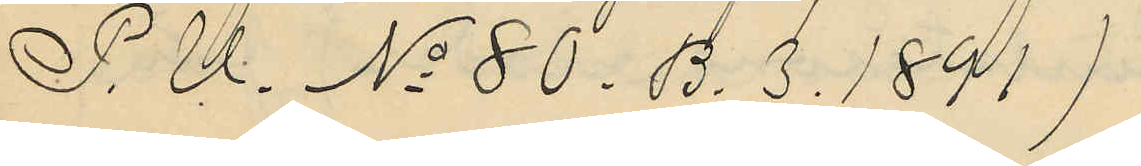P.U. No 80.B. 3. 1891)
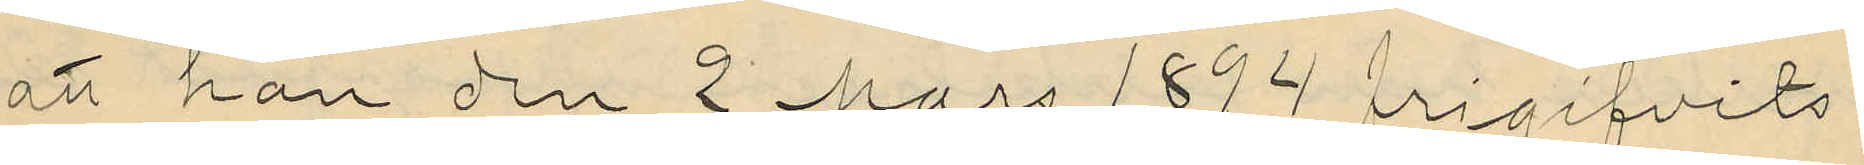att han den 2 Mars 1894 frigifvits
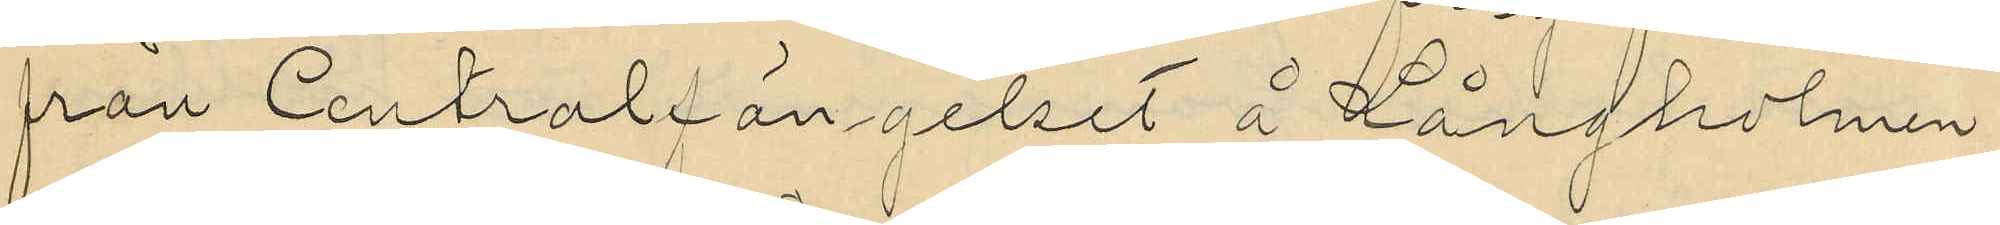från Centralfängelset å Långholmen
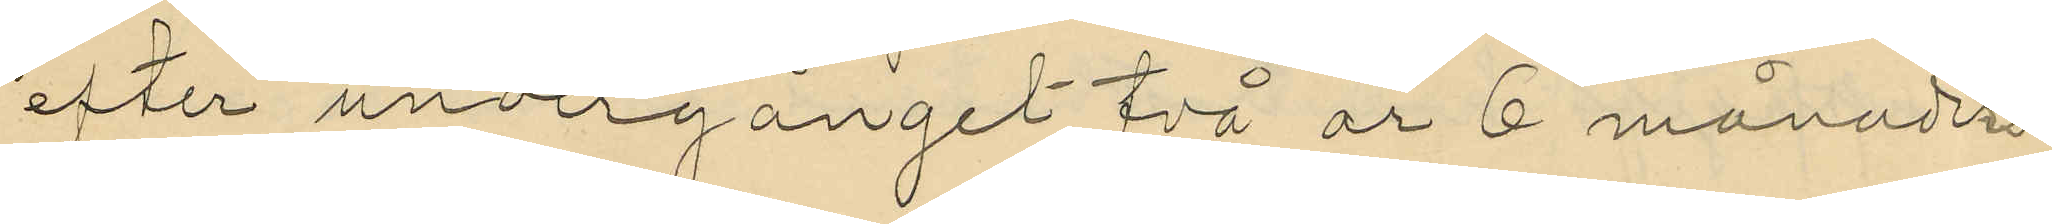efter undergånget två år 6 månaders
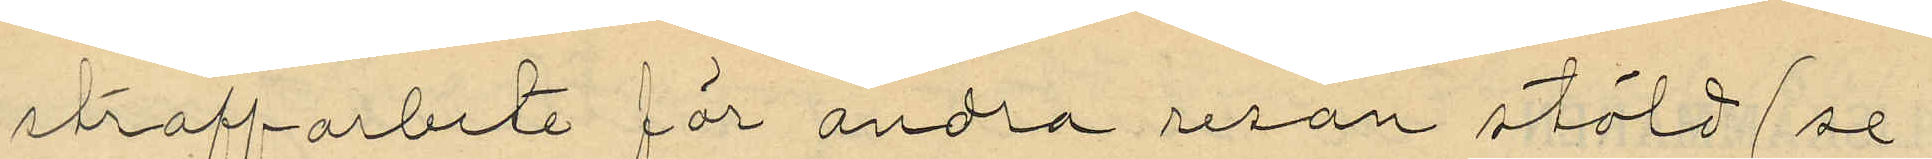straffarbete för andra resan stöld (se
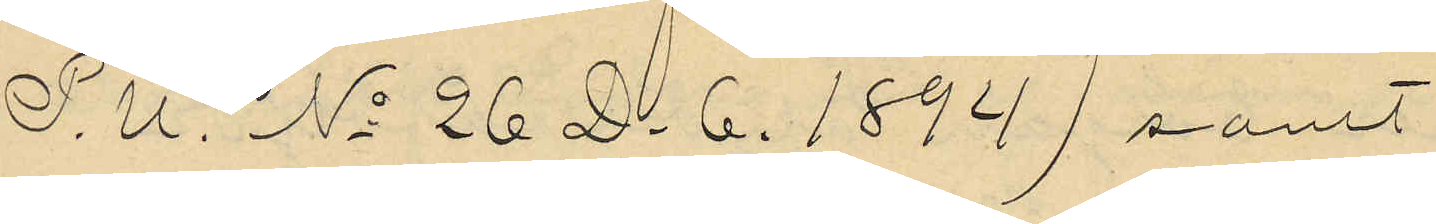P.U. No 26 D 6. 1894) samt
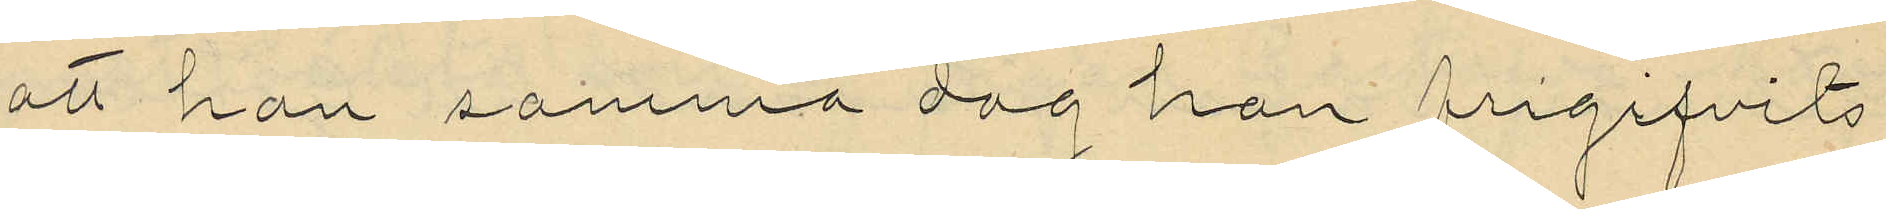att han samma dag han frigifvits
